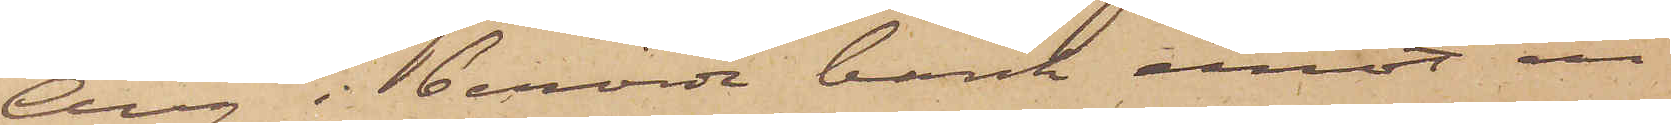Aug i berörde bank emot en
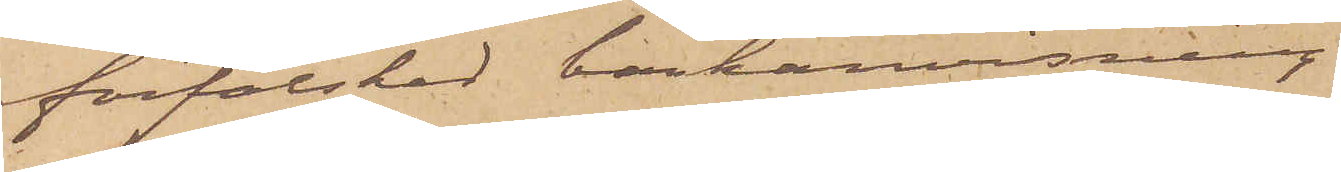förfalskad bankanvisning
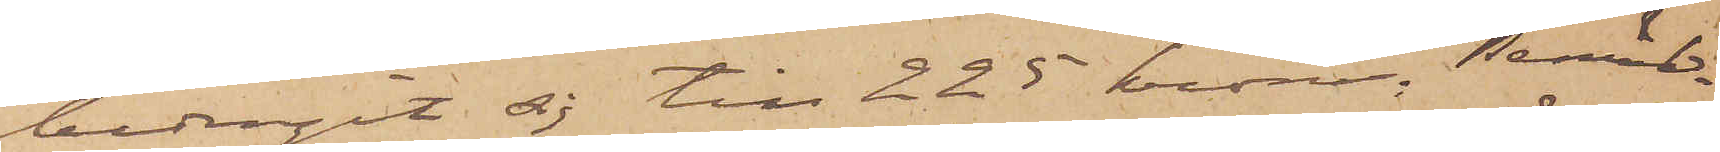bedragit sig till 225 kronor. Bemäl¬
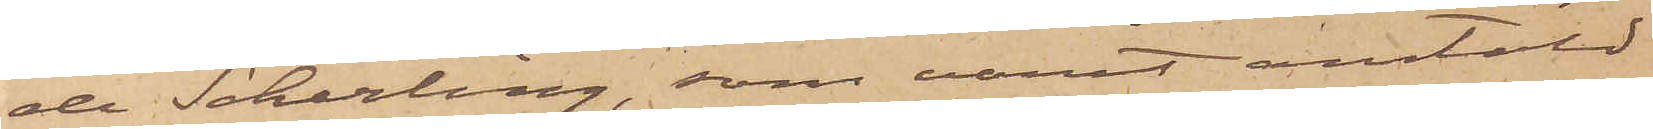de Scherling, som varit anstäld
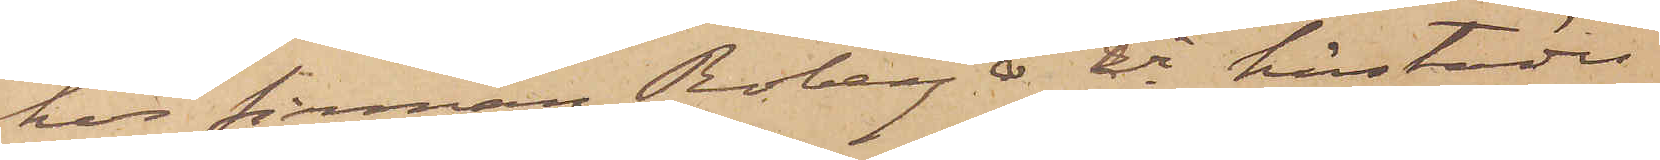hos firman Roberg & Ci härstädes,
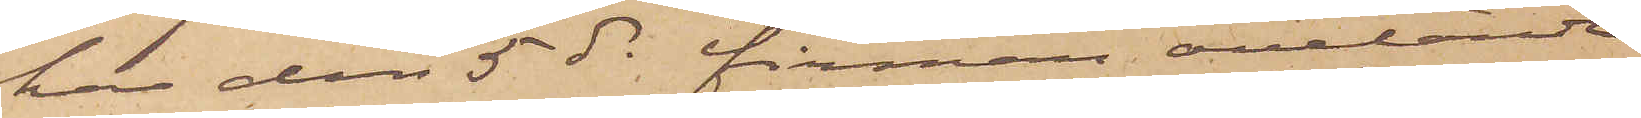har den 5 ds firman ovetande
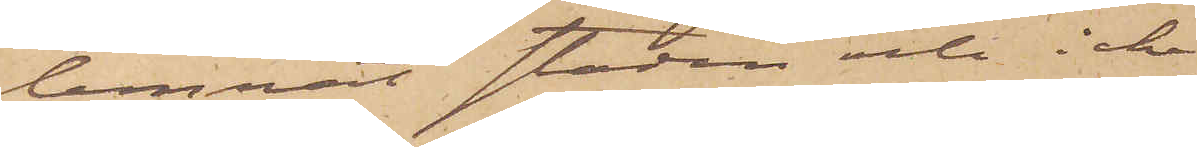lemnat staden och icke
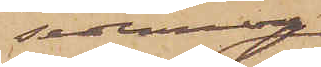sednare
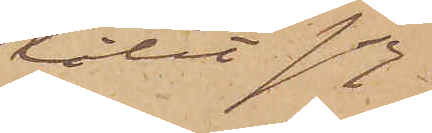låtit sig
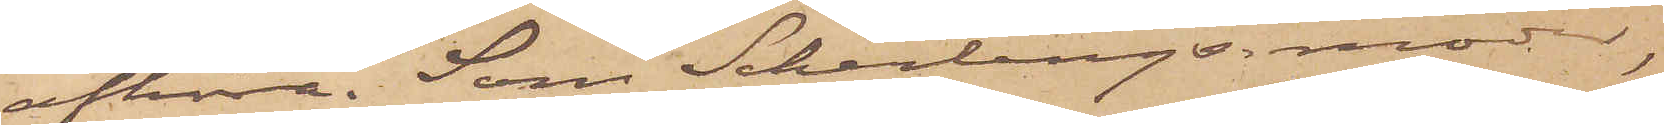afhöra. Som Scherlings moder,
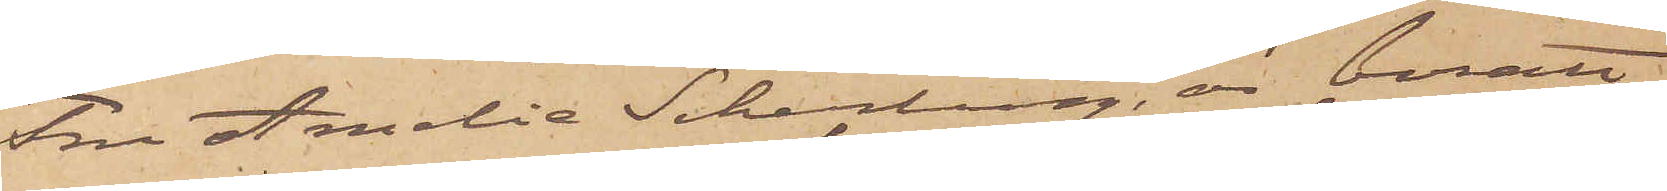Fru Amalia Scherling, är bosatt
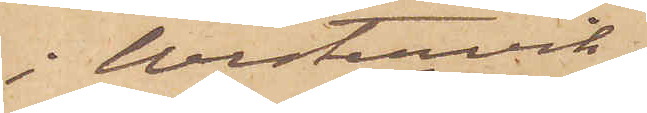i Westervik,
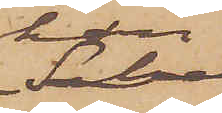han
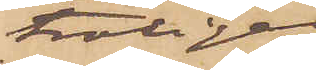troligen
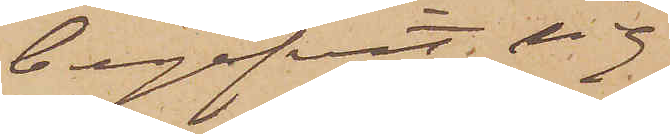begifvit sig
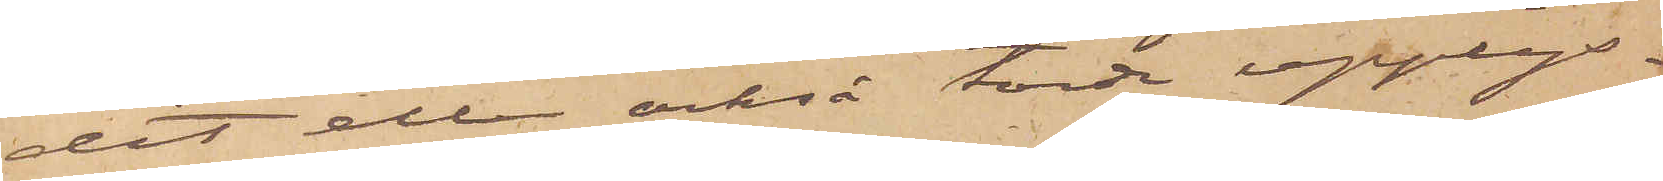dit eller också torde upplys¬
